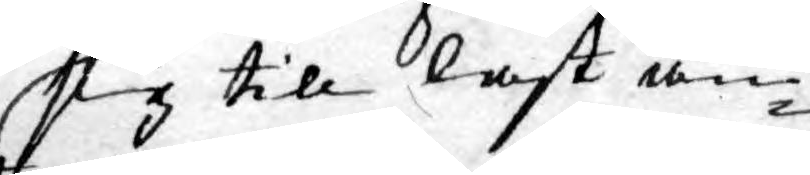sig till last än¬
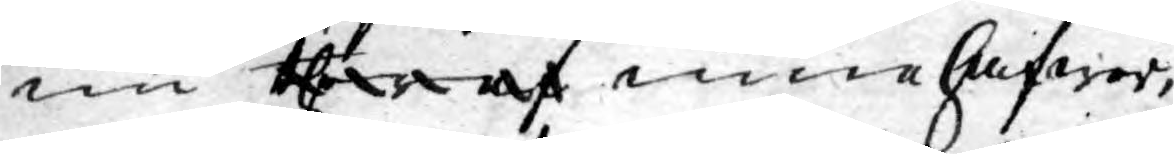nu theraf innehafwer,
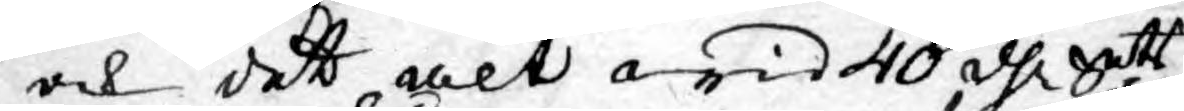och dett alt wid 40 dlr. Smtt
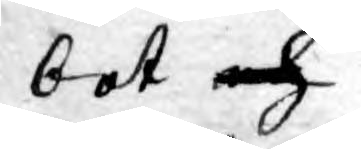bot och
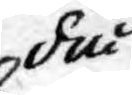då
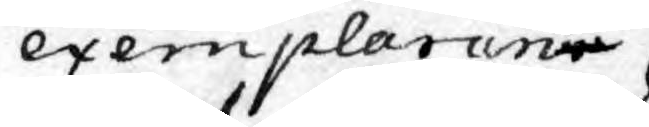exemplarene
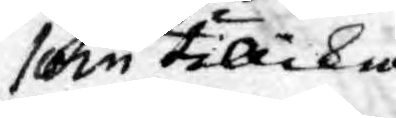som tillika
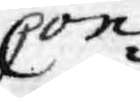Con¬
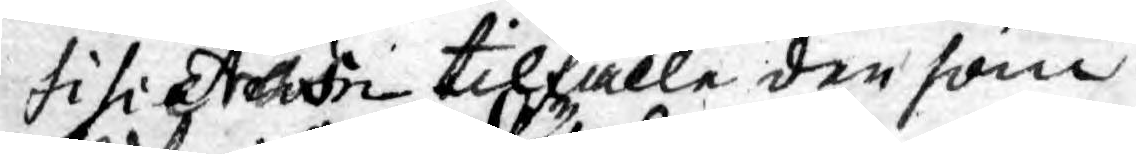fisiatedn tilfalle den som
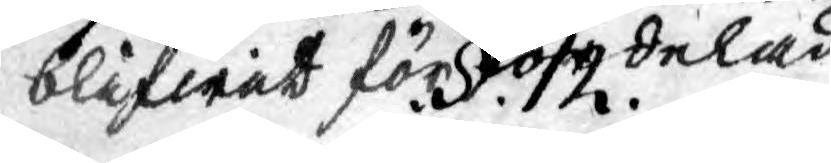blifwit förfördelad. .§. 12. 
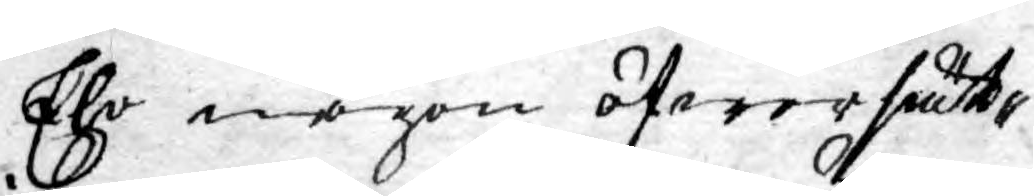Eho någon öfwersätt¬
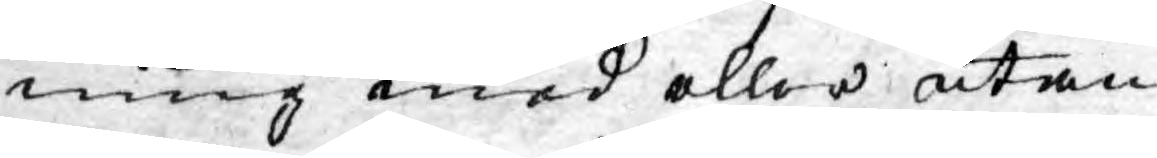ning med eller utan
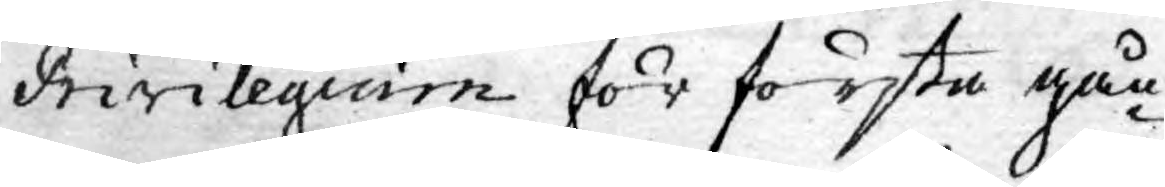Privilegium för första gån¬
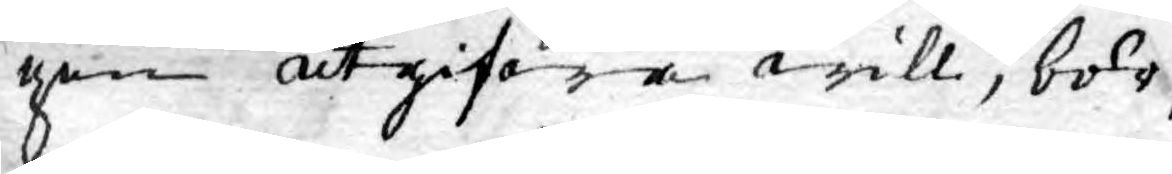gen utgifwa will, bör,
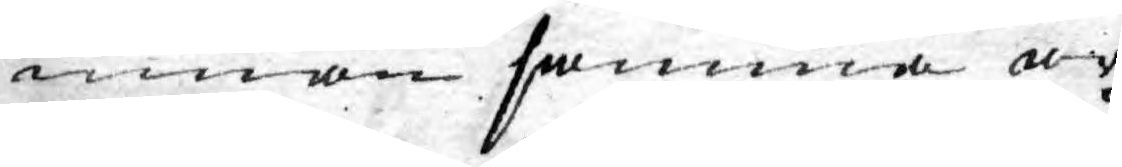innan samma ar¬
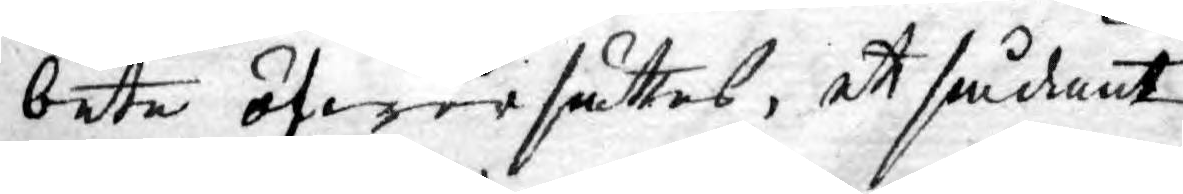bete öfwersättes, ett sådant
